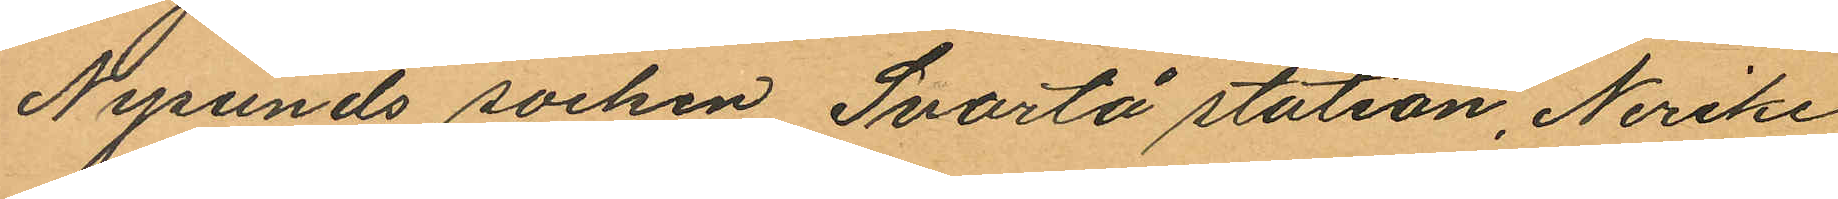Nysunds socken Svartå station, Nerike
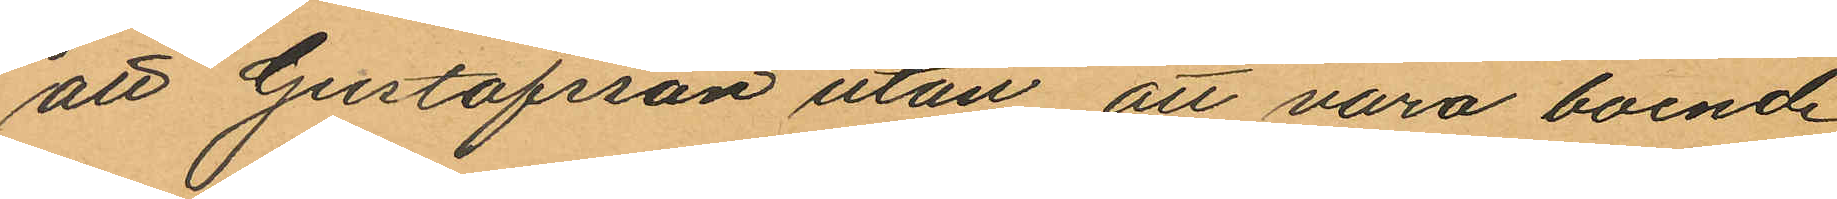att Gustafsson utan att vara boende
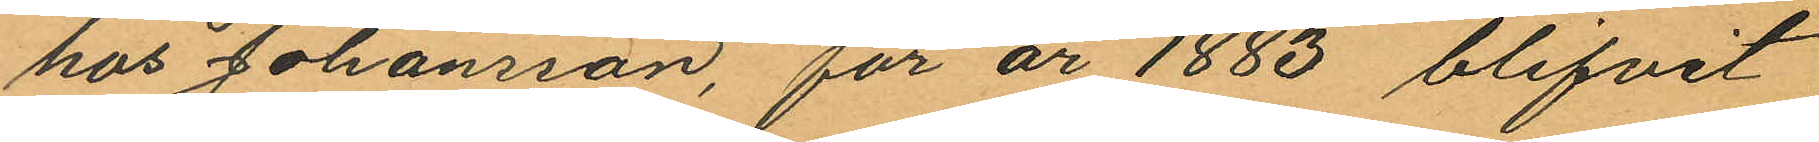hos Johansson, för år 1883 blifvit
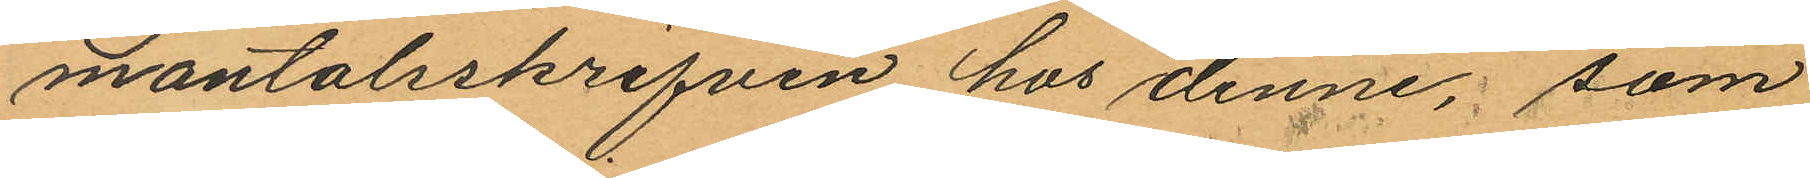mantalsskrifven hos denne, som
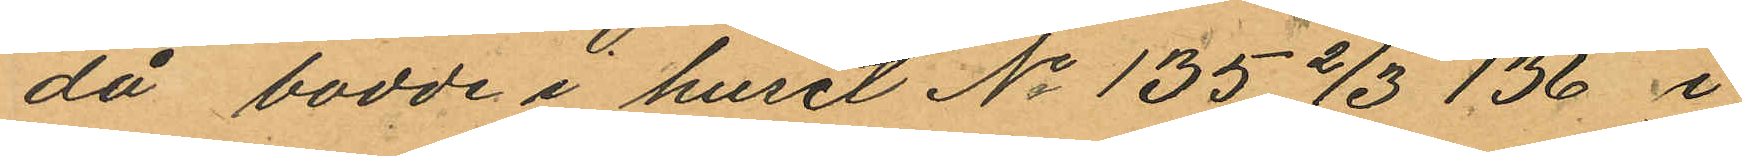då bodde i huset No 135 2/3 136 i
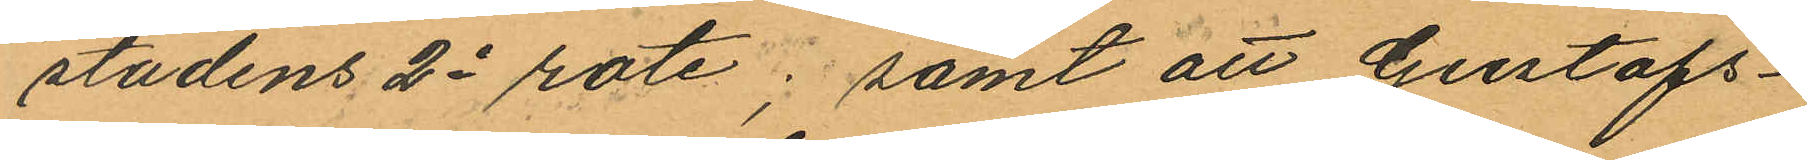stadens 2e rote; samt att Gustafs¬
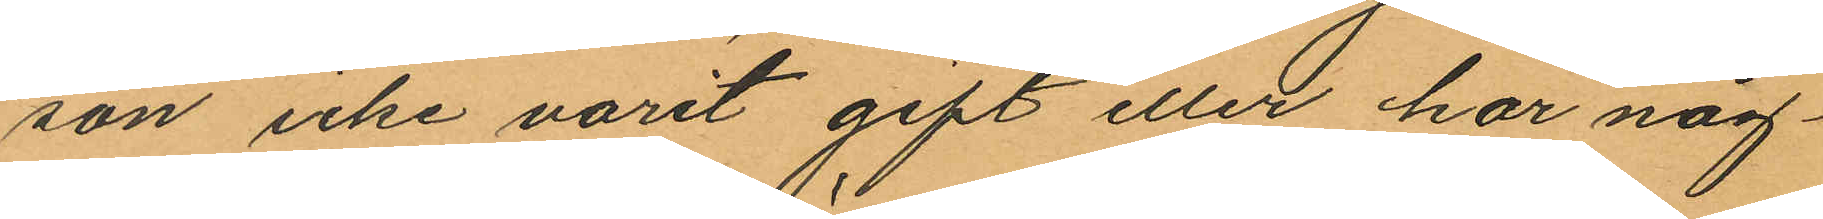son icke varit gift eller har någ¬
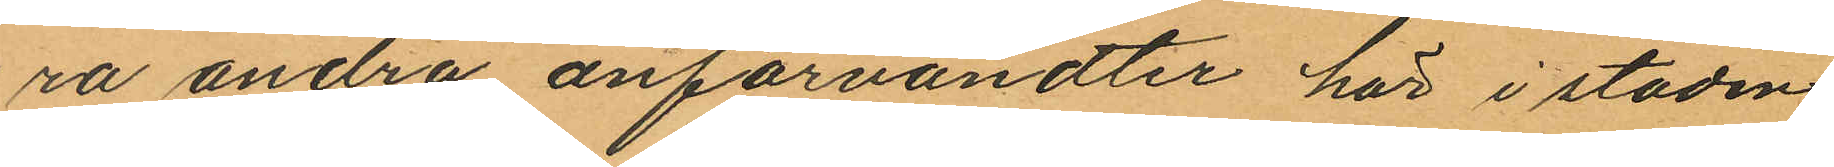ra andra anförvandter här i staden
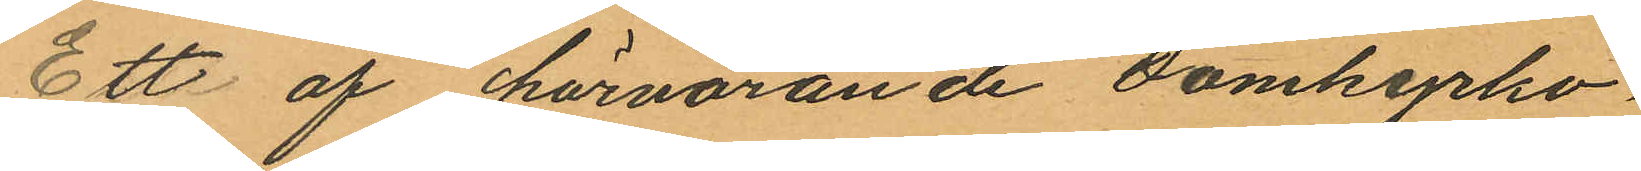Ett af härvarande domkyrko¬
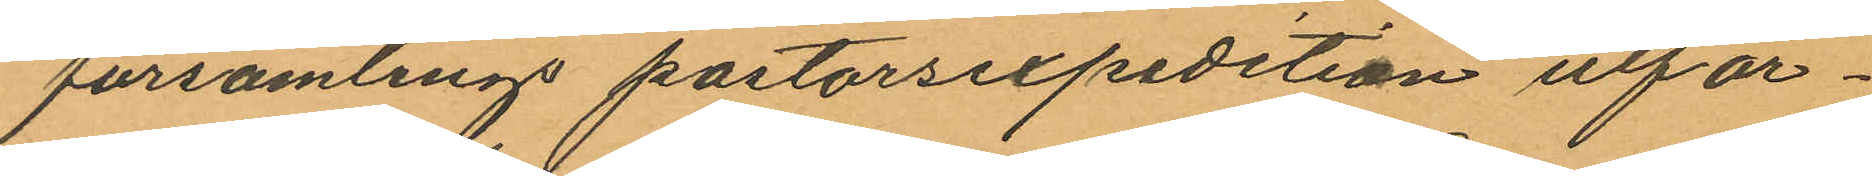församlings pastorsexpedition utfär¬
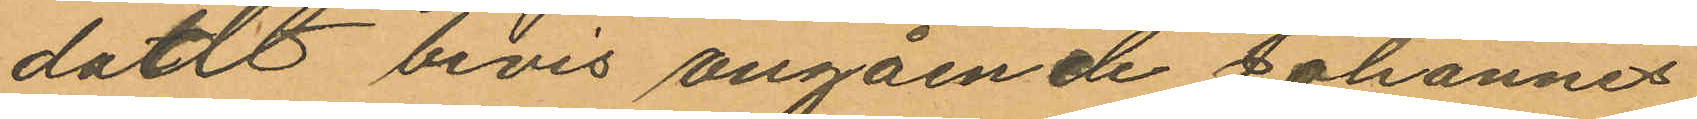dat bevis angående Johannes
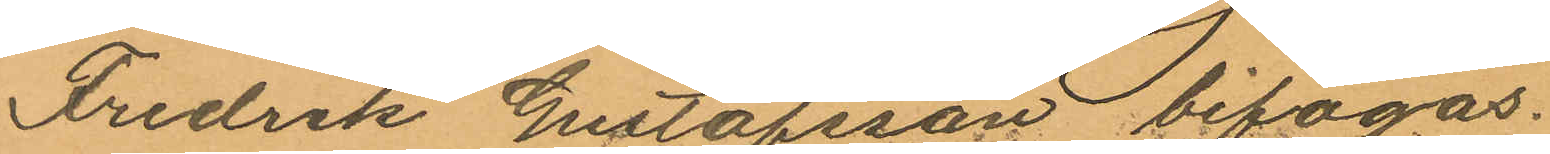Fredrik Gustafsson bifogas.
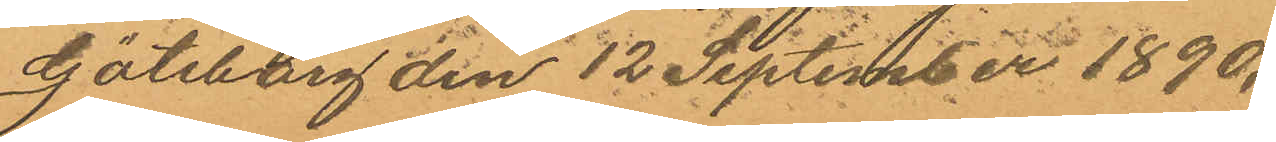Göteborg den 12 Septembei 1890.
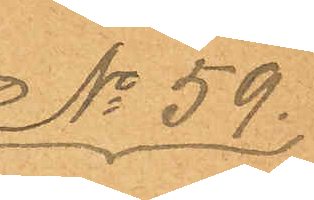No 59.
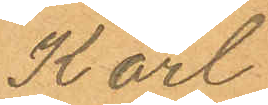Karl
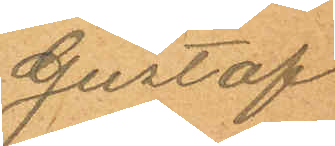Gustaf
